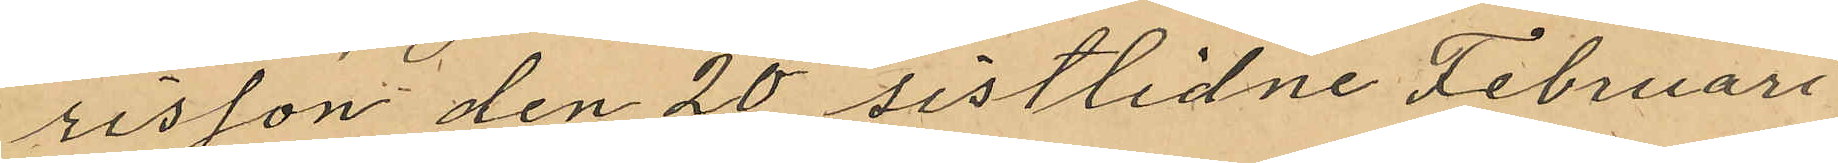risson den 20 sistlidne Februari
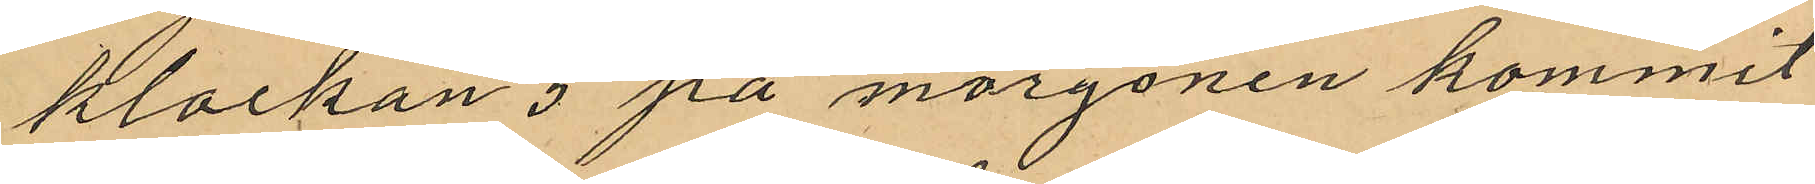klockan 5 på morgonen kommit
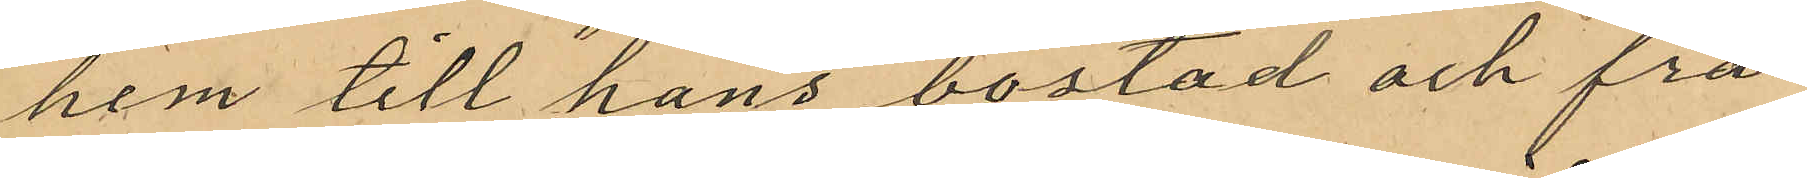hem till hans bostad och frå¬
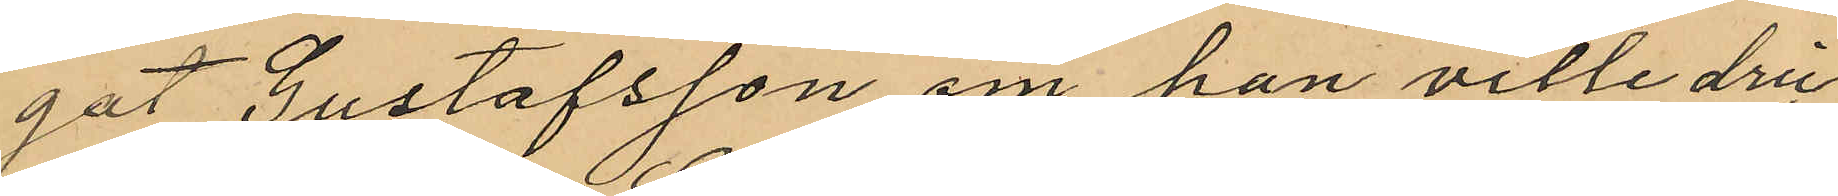gat Gustafsson om han ville dric¬
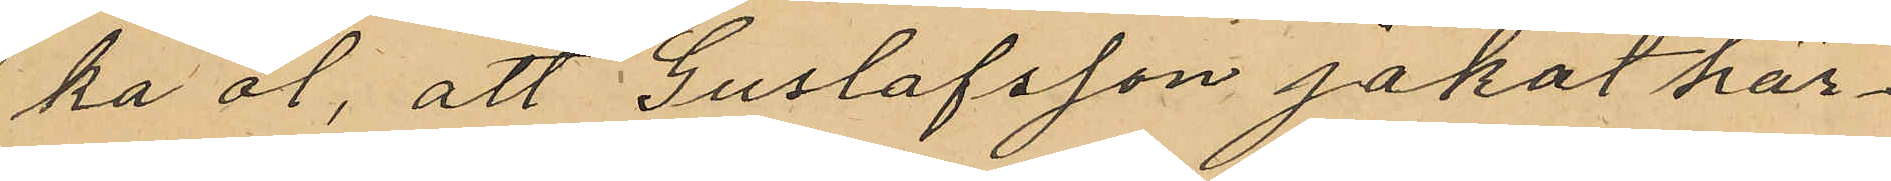ka öl, att Gustafsson jakat här¬
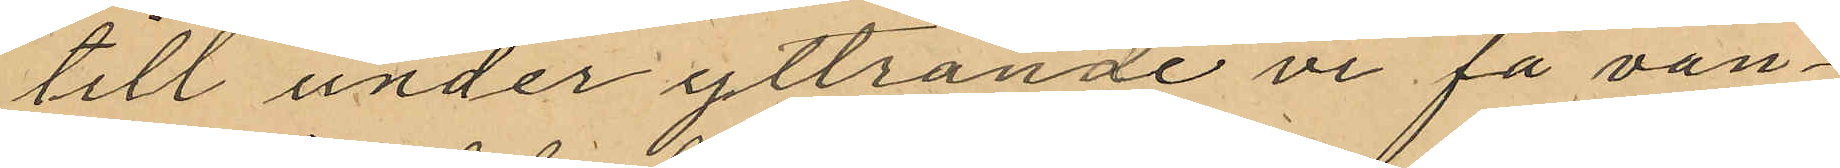till under yttrande vi få vän¬
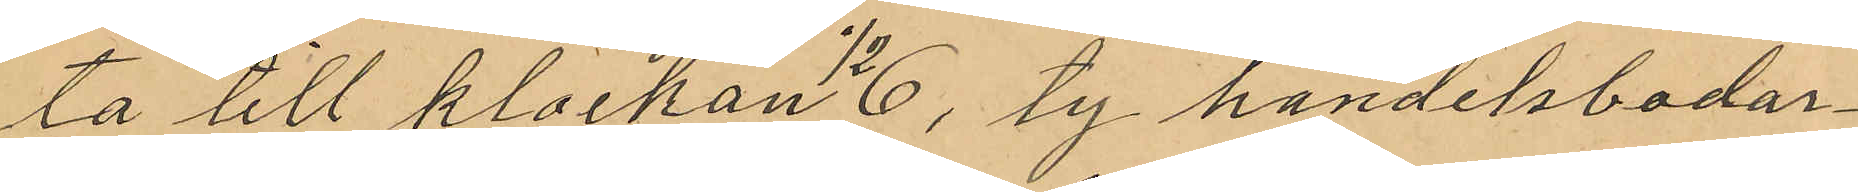ta till klockan 1/2 6, ty handelsbodar¬
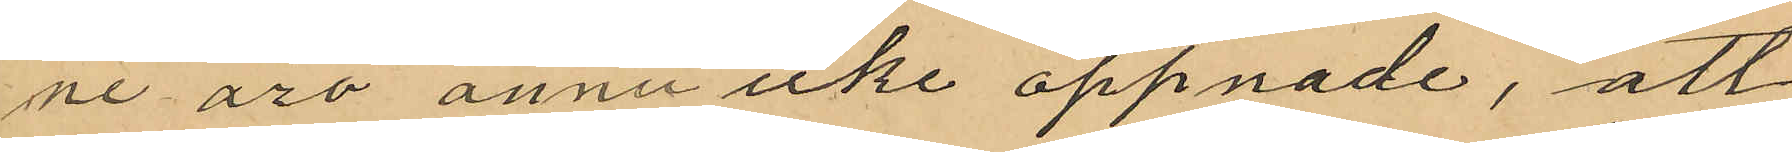ne äro ännu icke öppnade, att
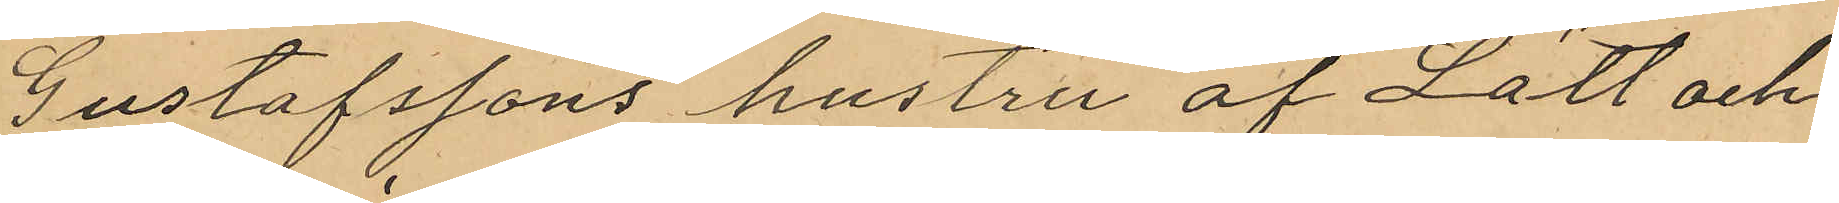Gustafssons hustru af Lätt och
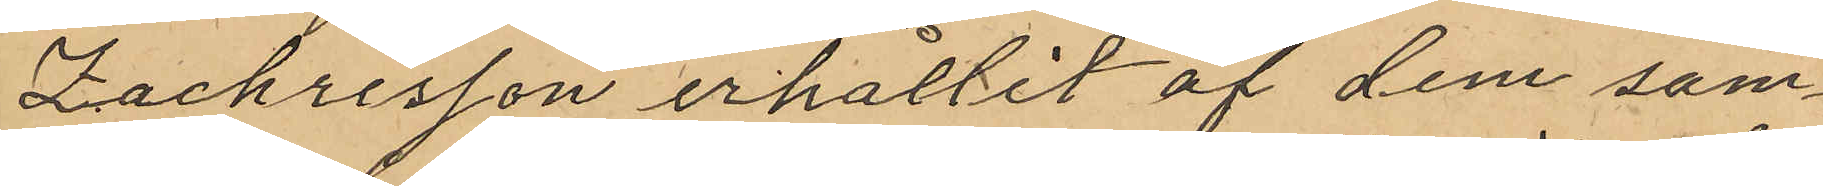Zachrisson erhållit af dem sam¬
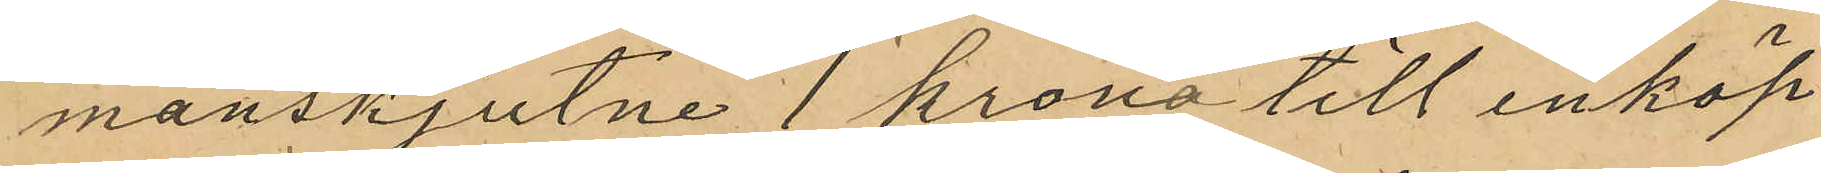manskjutne 1 krona till inköp
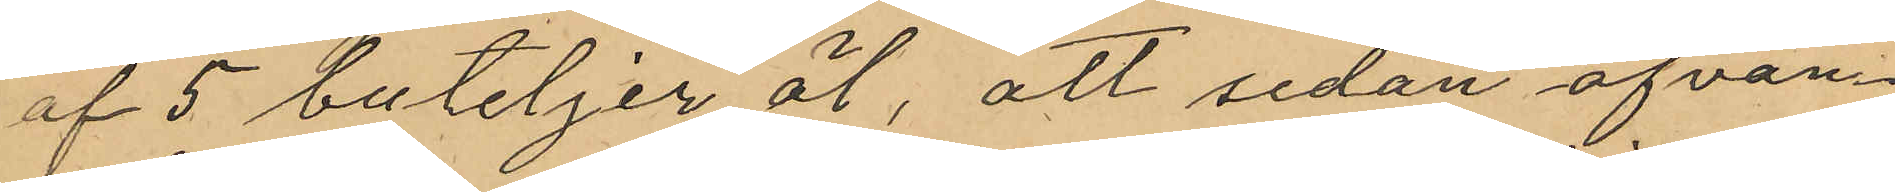af 5 buteljer öl, att sedan ofvan
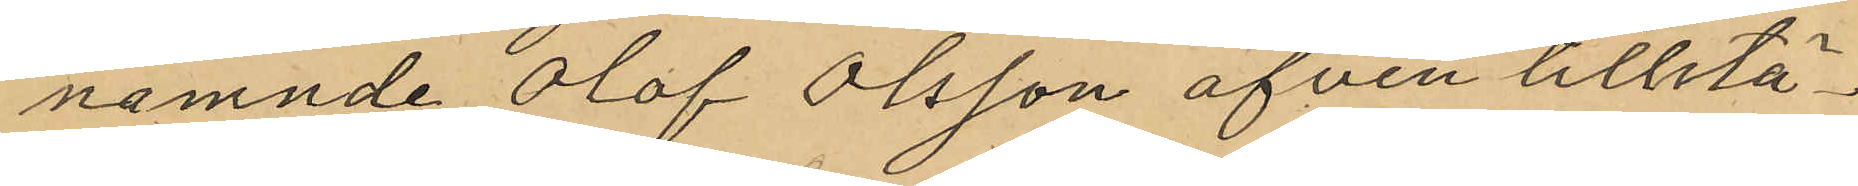nämnde Olof Olsson äfven tillstä¬
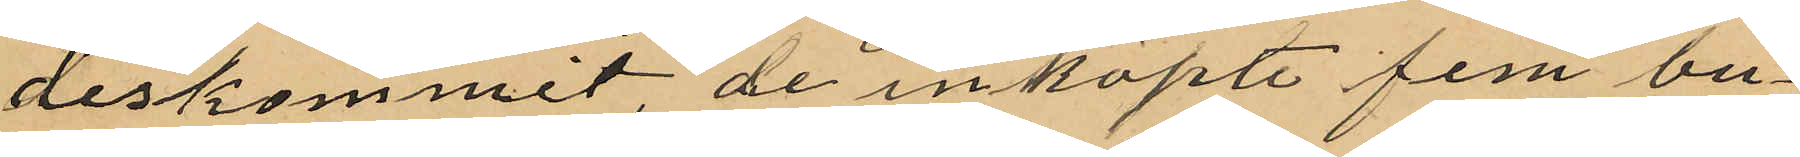deskommit, de inköpte fem bu¬
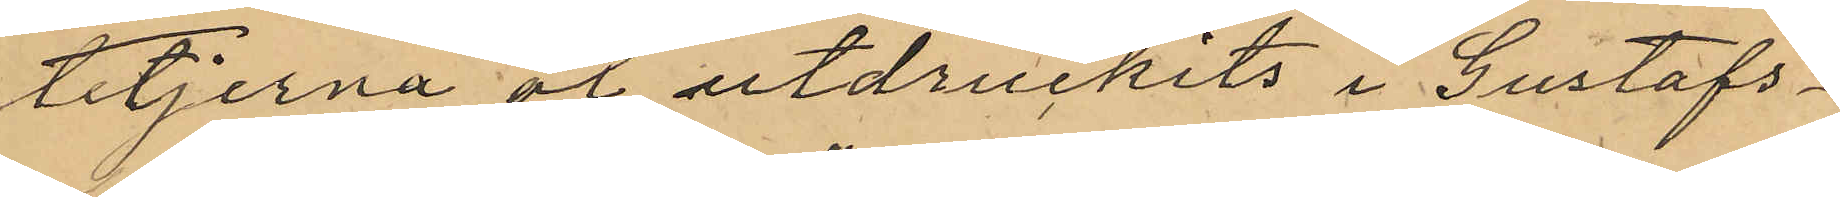teljerna öl utdruckits i Gustafs¬
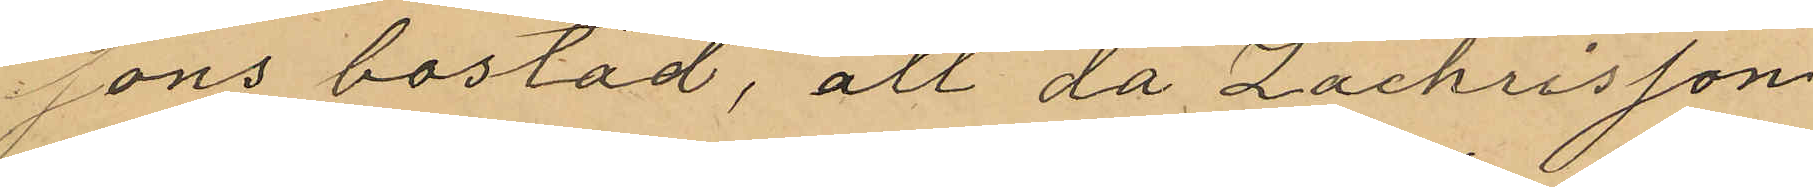sons bostad, att då Zachrisson
